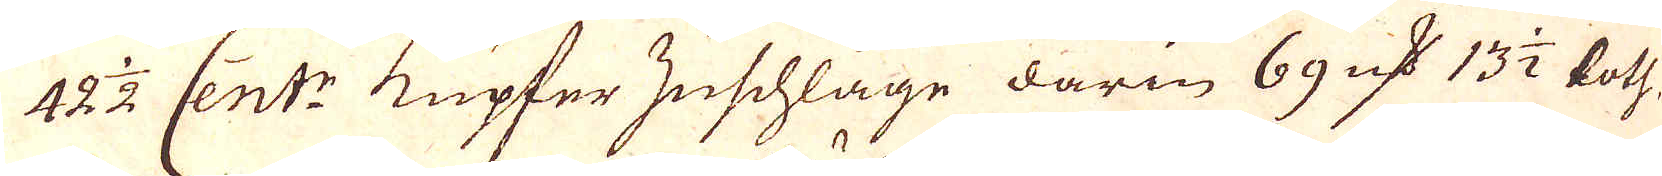42 1/2 Cent:r Kupfer zuschläge darin 69 qv:r 13 1/2 loth
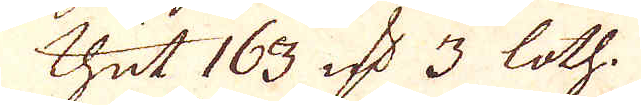thut 163 qv:r 3 loth.
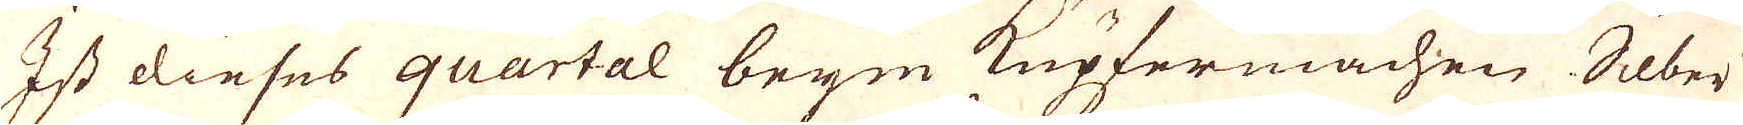Ist dieses quartal beym Kupfermachen Silber
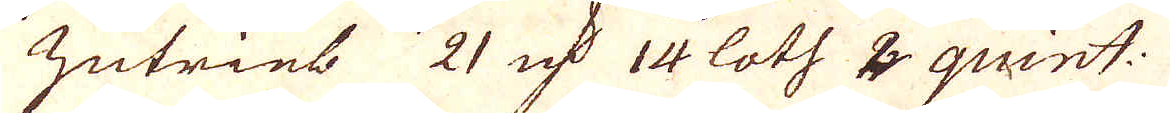zutrieb 21 qv:r 14 loth 2 quint:
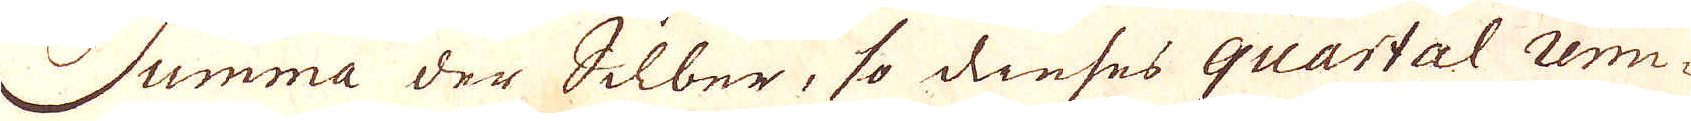Summa der Silber, so dieses quartal rem-
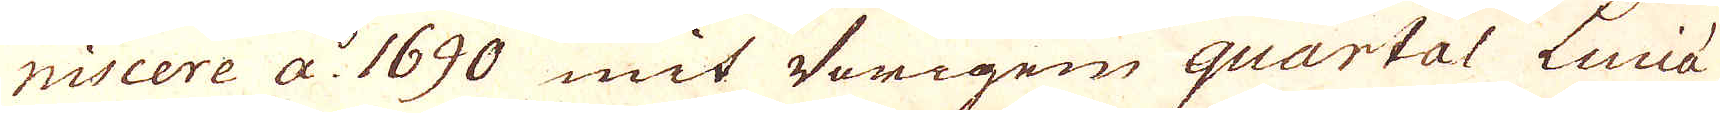niscere a:o 1690 mit Vorigen quartal Luciá
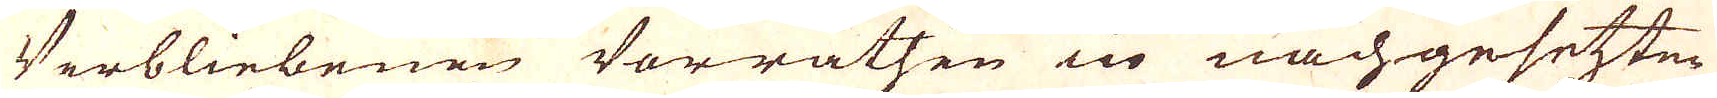Verbliebenen Vorrätsen in nachgesetten
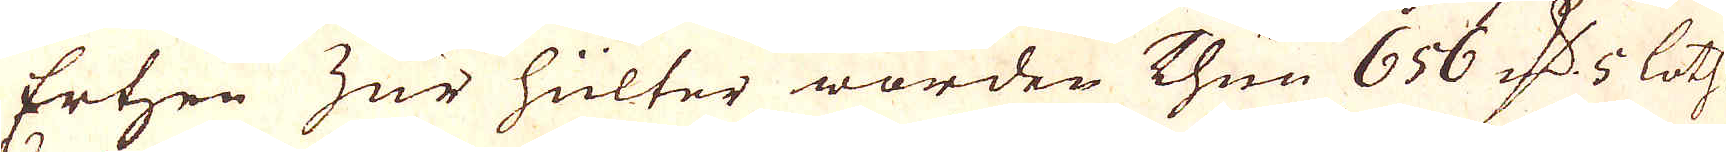Ertzen zur hülter worden Thun 656 qv:r 5 loth
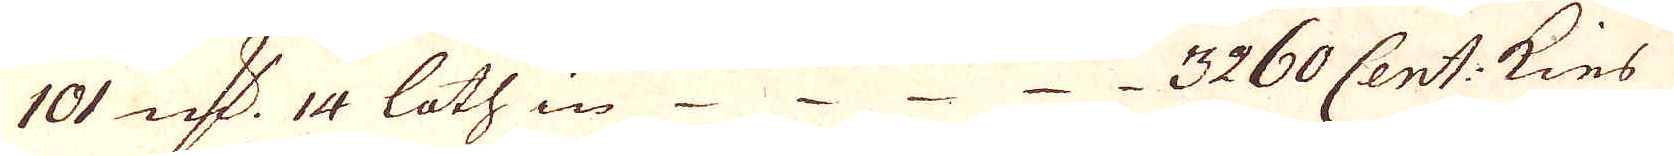101 qv:r 14 loth in 3260 Cent: Kies
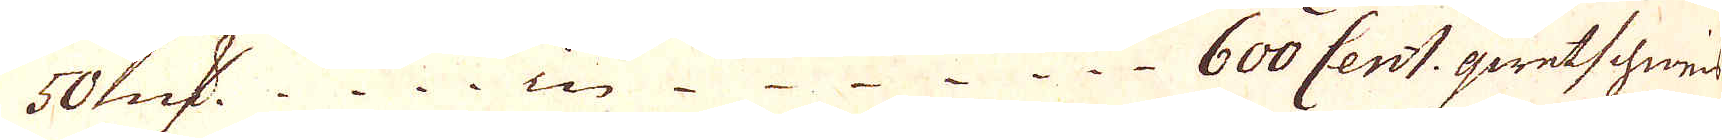5o qv:r in 600 Cent: qwetschneid
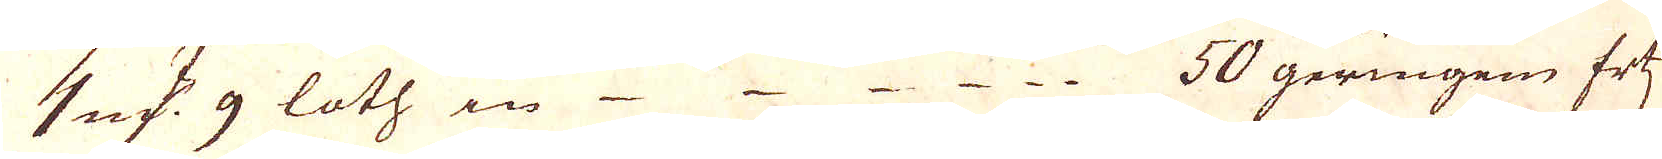1 qv:r 9 loth in 50 geringen Ertz
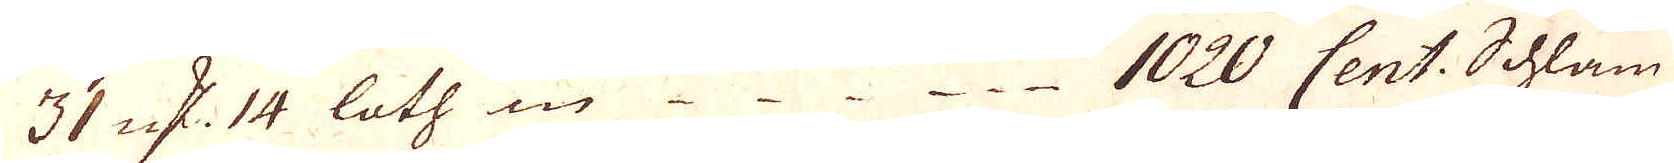31 qv:r 14 loth in 1020 Cent. Schlam
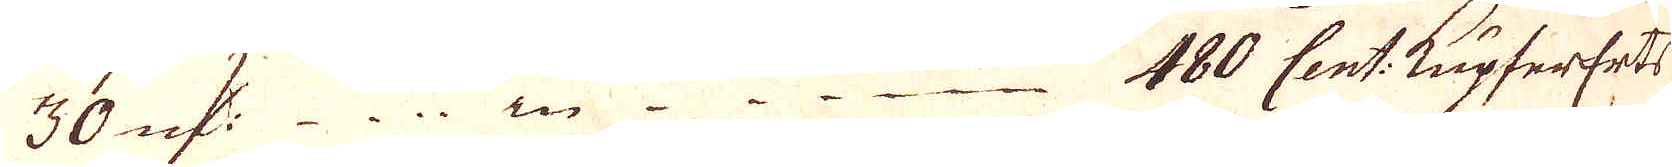30 qv:r in 480 Cent: Kupfererts
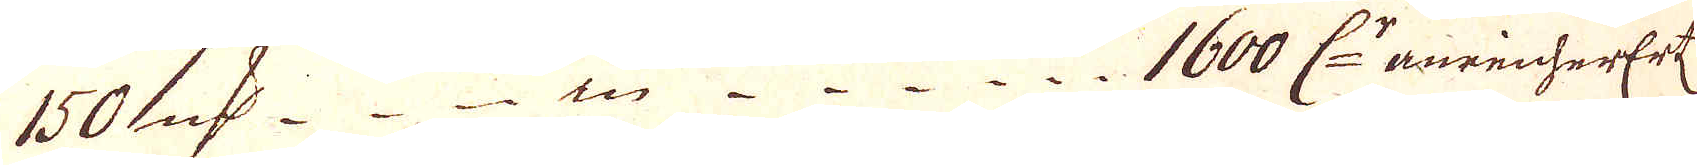150 qv:r in 1600 C:r anreicherertz
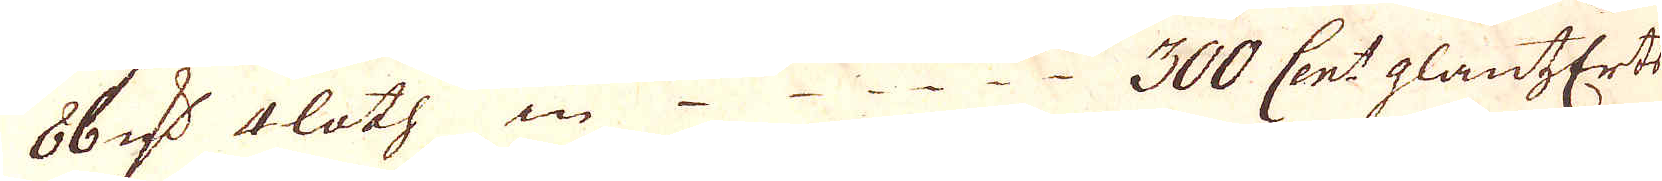86 qv:r 4 loth in 300 Cent: glantzerts
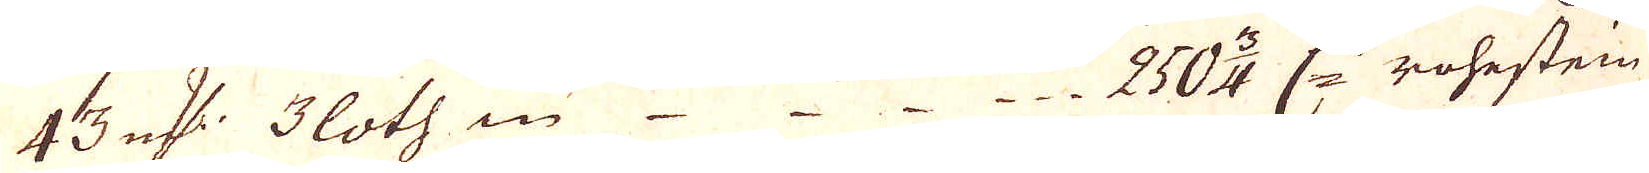43 qv:r 3 loth in 250 3/4 C:r rohestein
